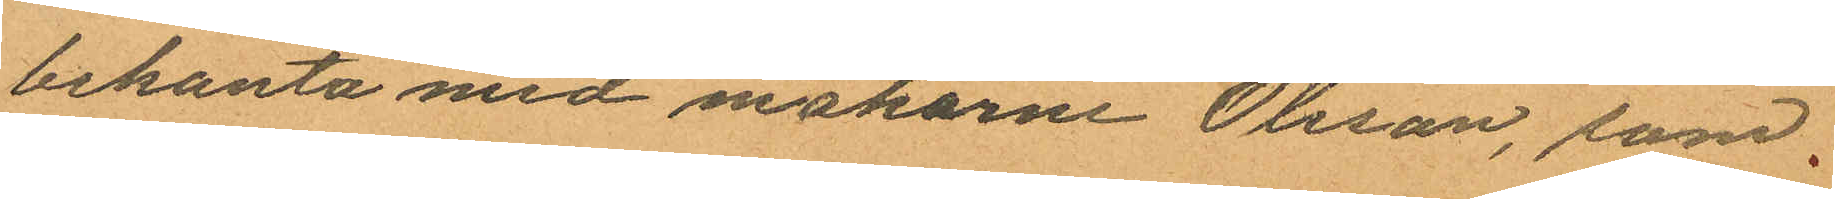bekanta med makarne Olsson, som
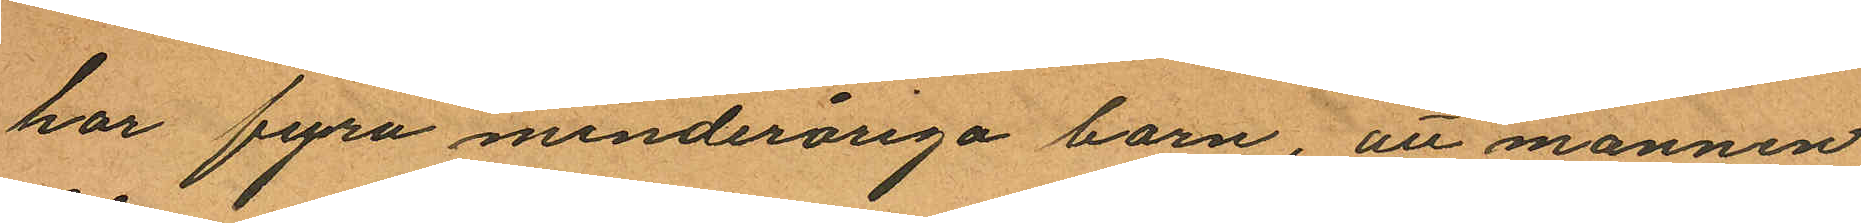har fyra minderåriga barn, att mannen
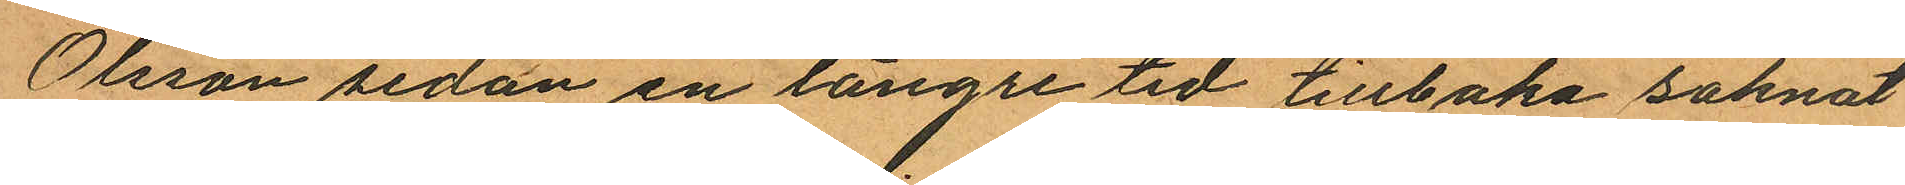Olsson sedan en längre tid tillbaka saknat
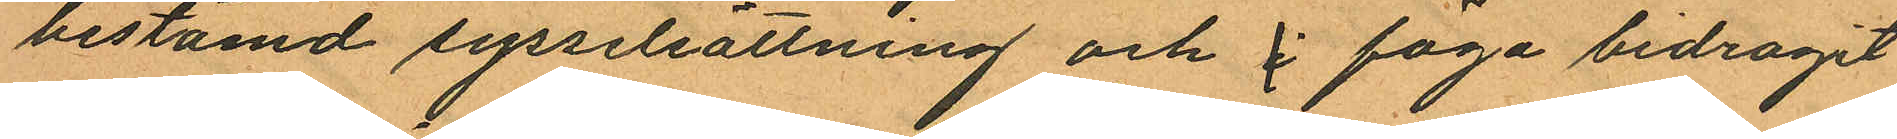bestämd sysselsättning och i föga bidragit
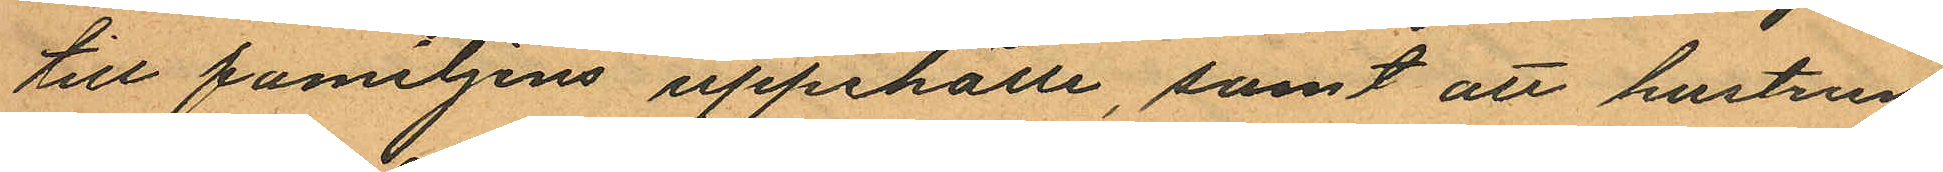till familjens uppehälle, samt att hustrun
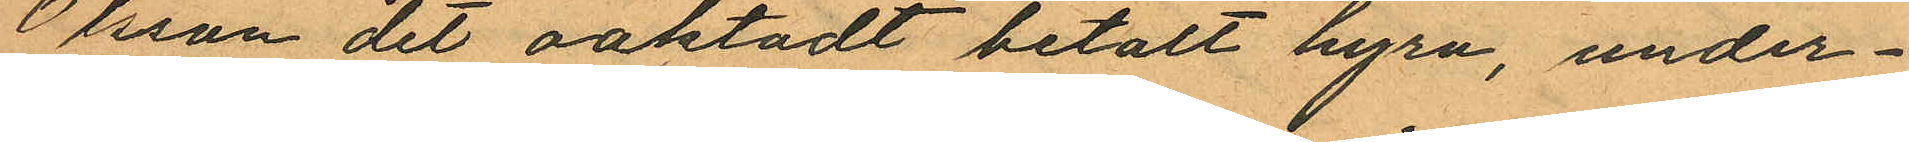Olsson det oaktadt betalt hyra, under¬
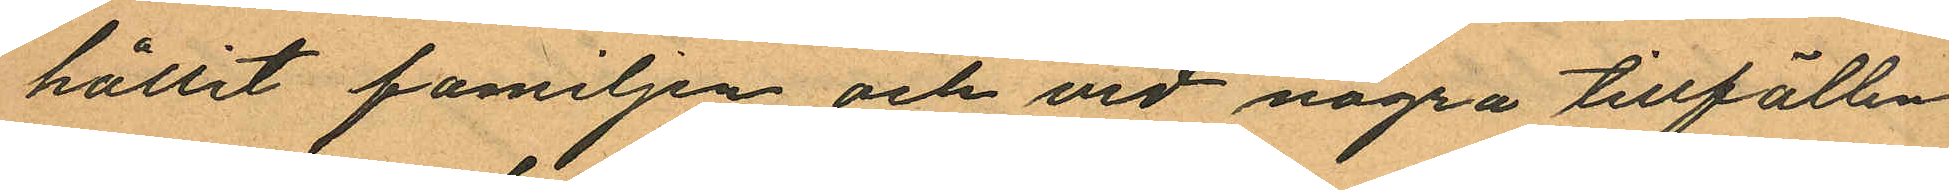hållit familjen och vid några tillfällen
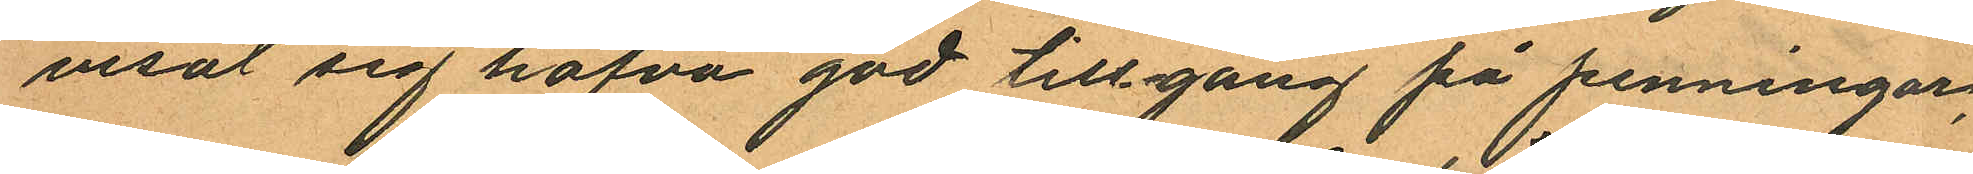visat sig hafva god tillgång på penningar,
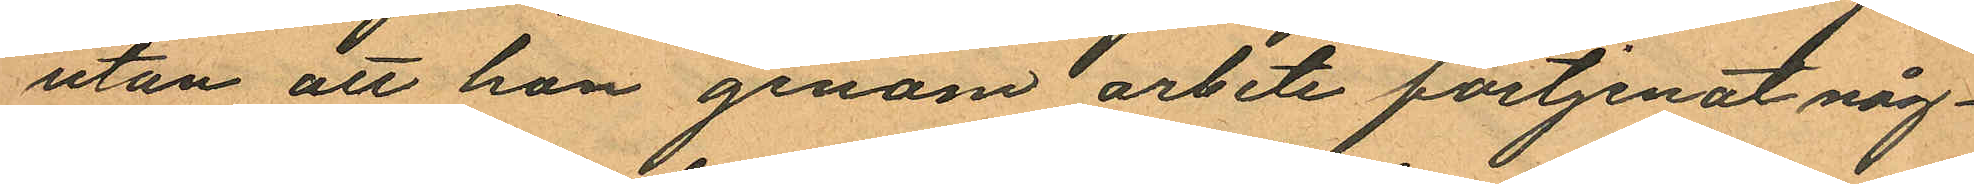utan att hon genom arbete förtjenat någ¬
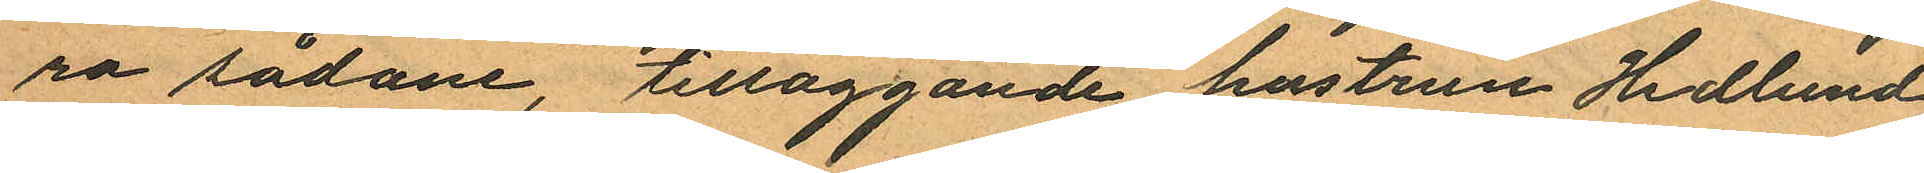ra sådane, tilläggande hustrun Hedlund
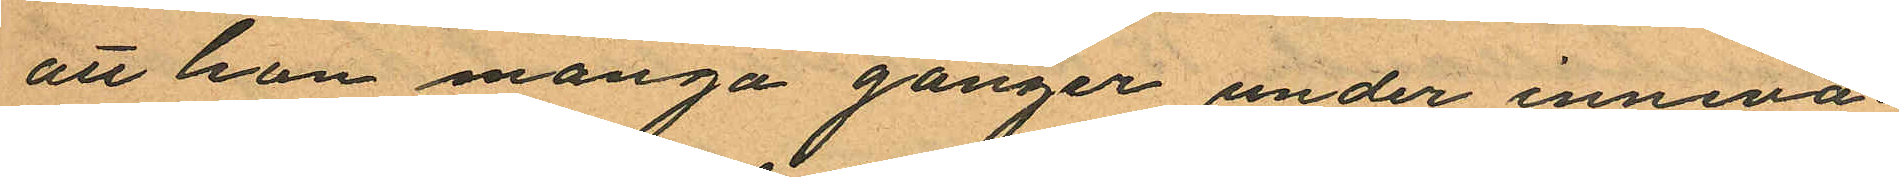att hon många gånger under inneva¬
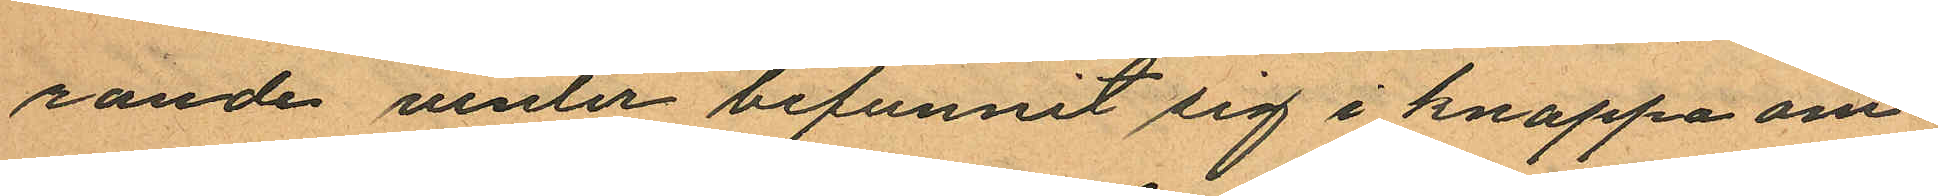rande vinter befunnit sig i knappa om¬
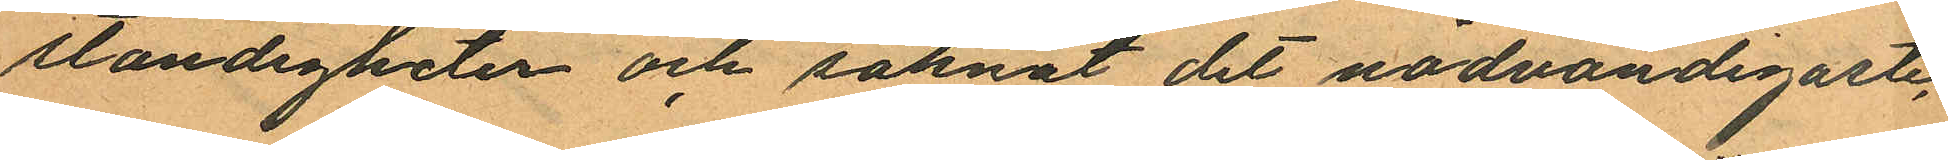ständigheter och saknat det nödvändigaste,
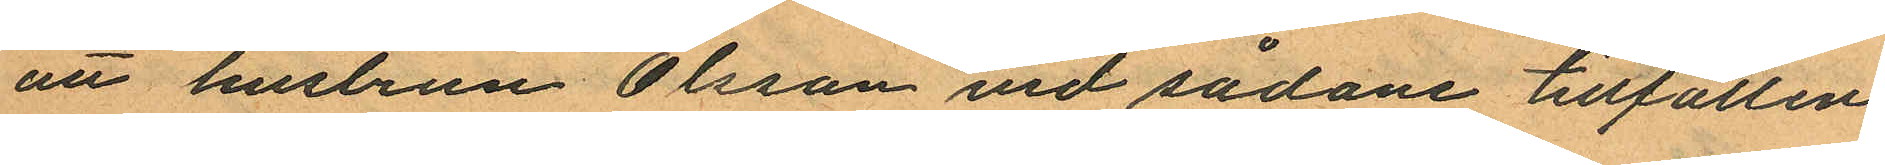att hustrun Olsson vid sådane tillfällen
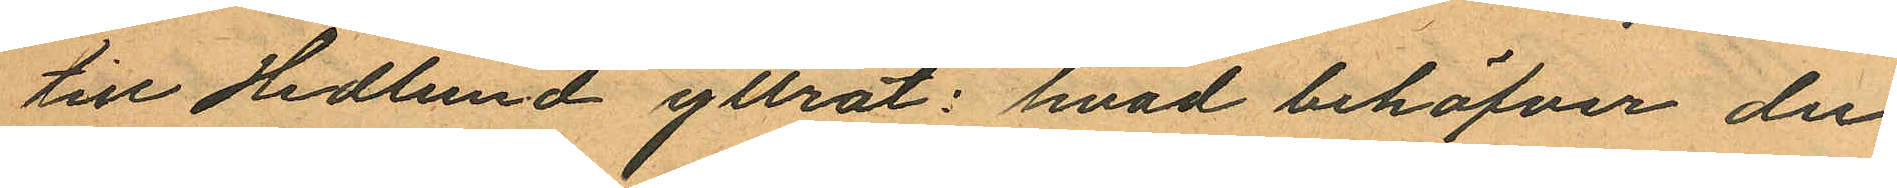till Hedlund yttrat: hvad behöfver du
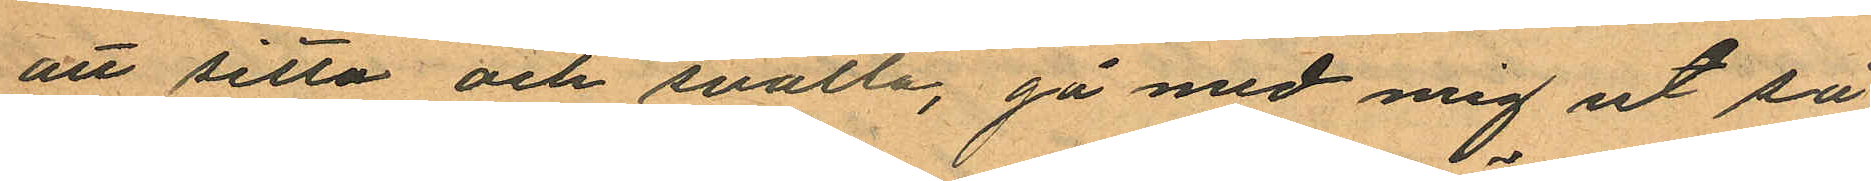att sitta och svälta, gå med mig ut så
